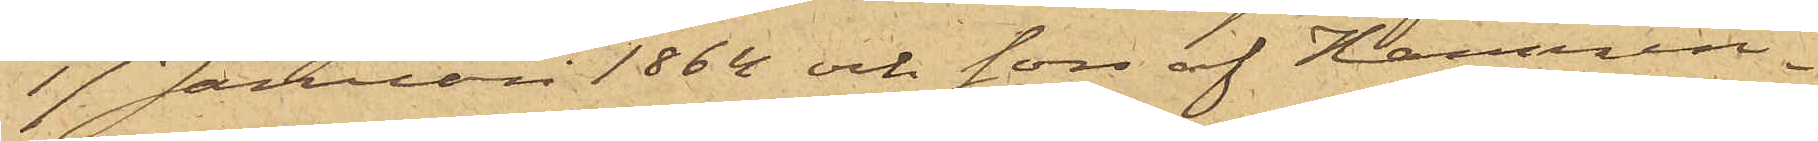17 Januari 1864 och son af Hamnin¬
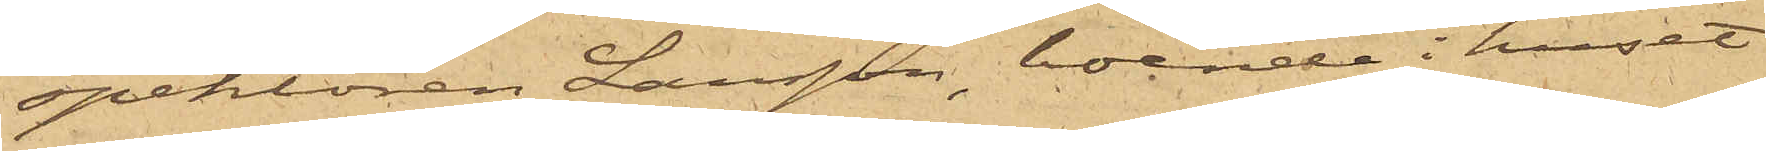spektoren Larsson, boende i huset
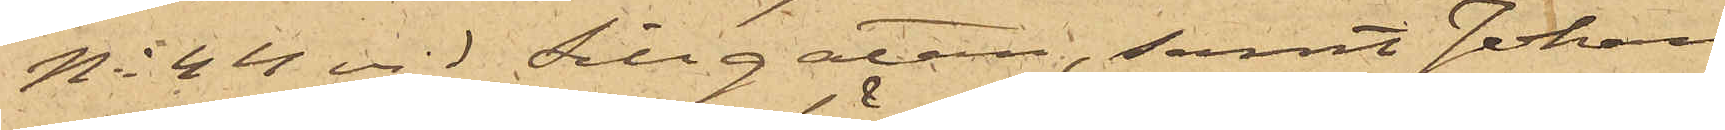No 44 vid Sillgatan, samt Johan
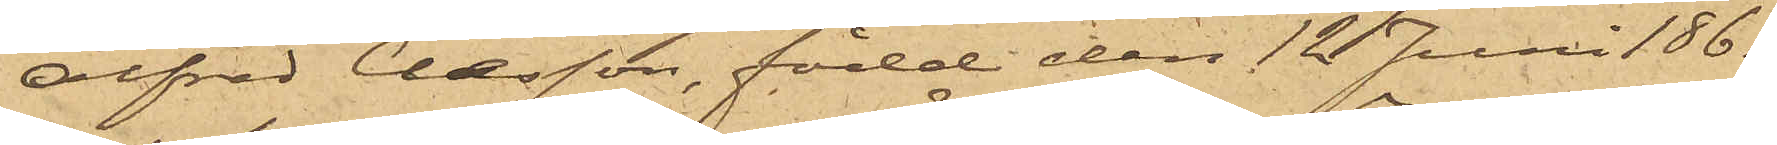Alfred Claesson, född den 12 Juni 1861
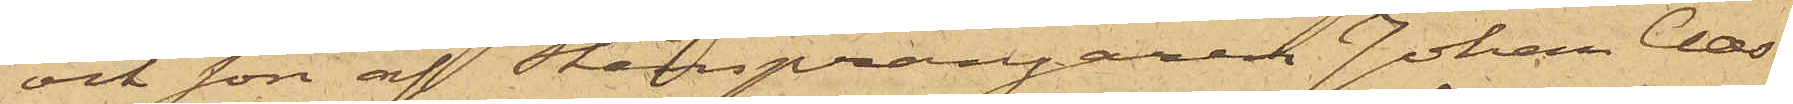och son af Stensprängaren Johan Claes¬
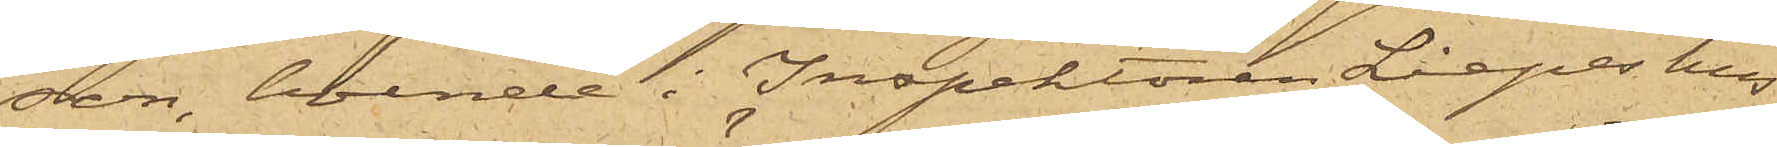son, boende i Inspektoren Liepes hus
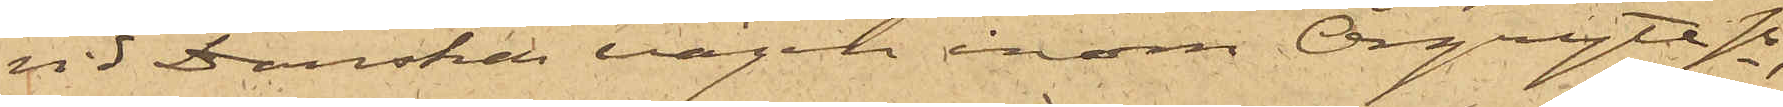vid Danska vägen inom Örgryte sn,
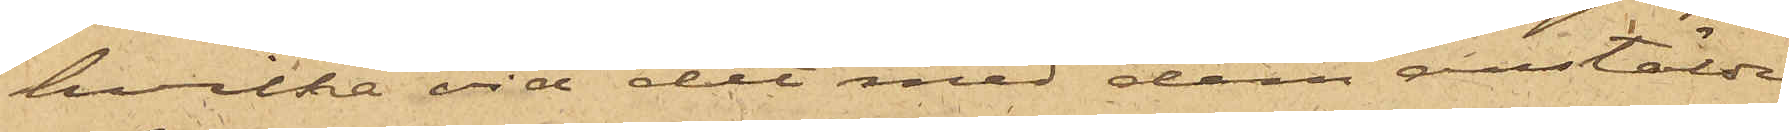hvilka vid det med dem anstälde
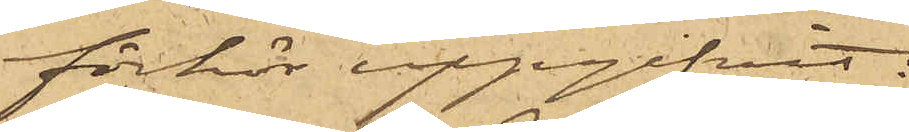förhör uppgifvit:
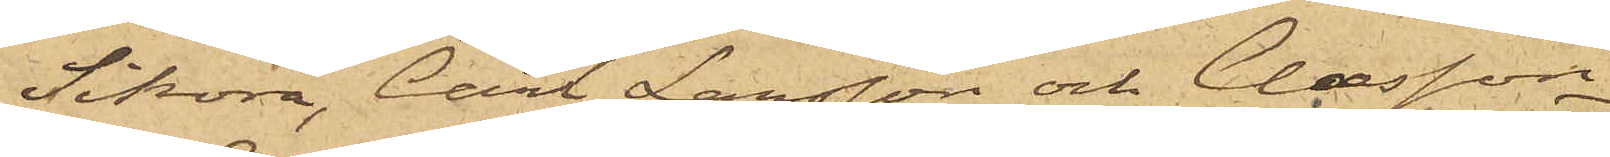Sikora, Carl Larsson och Claesson
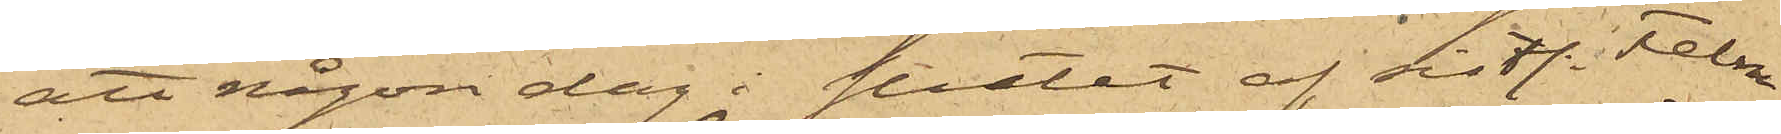att någon dag i slutet af sist. Febru¬
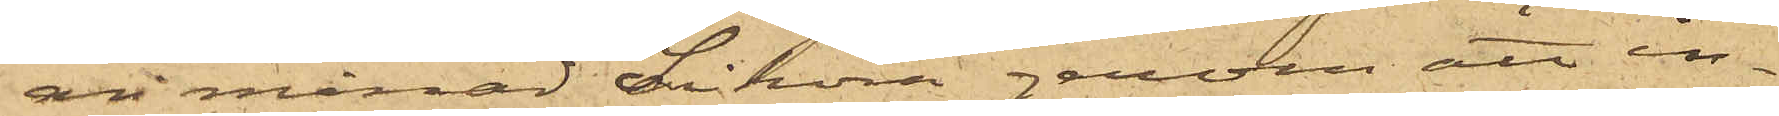ari månad Sikora genom att in¬
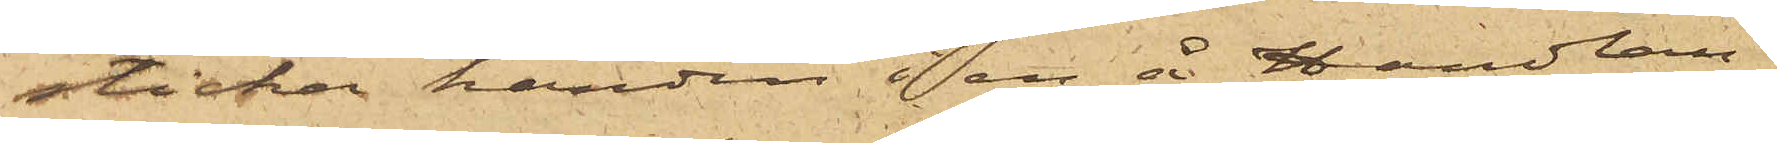sticka handen i en å Handlan¬
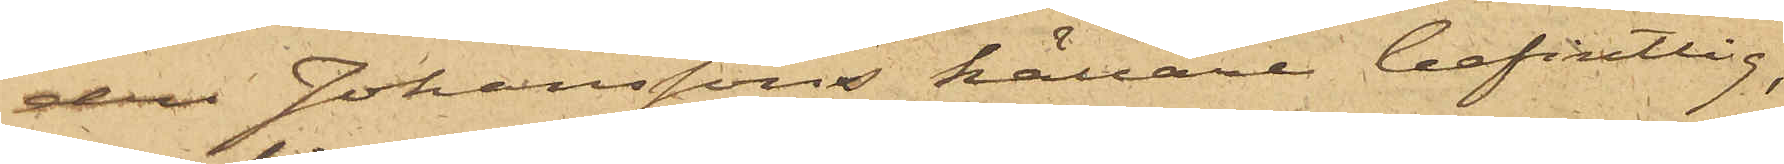den Johanssons källare befintlig,
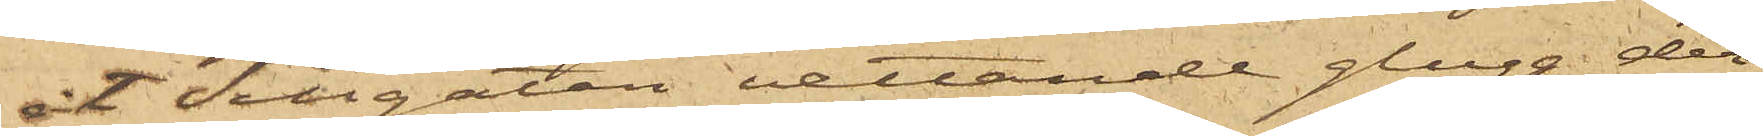åt Sillgatan vettande glugg der
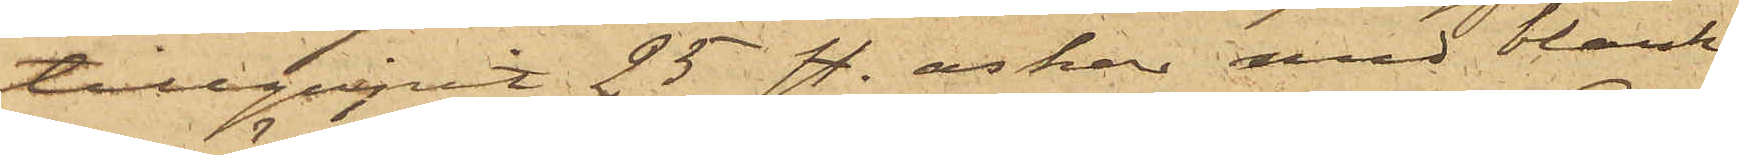tillgripit 25 st. askar med blank¬
